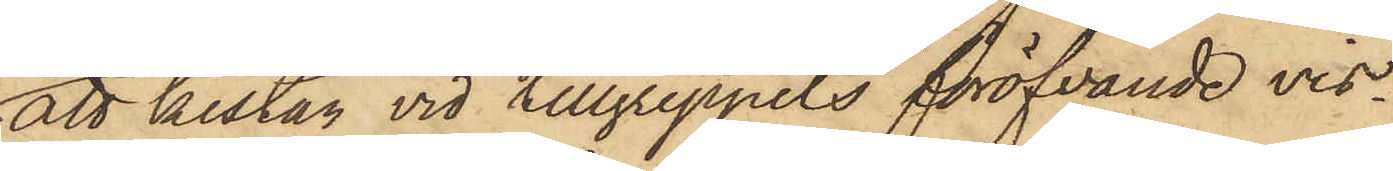att kistan vid tillgreppets föröfvande vis¬
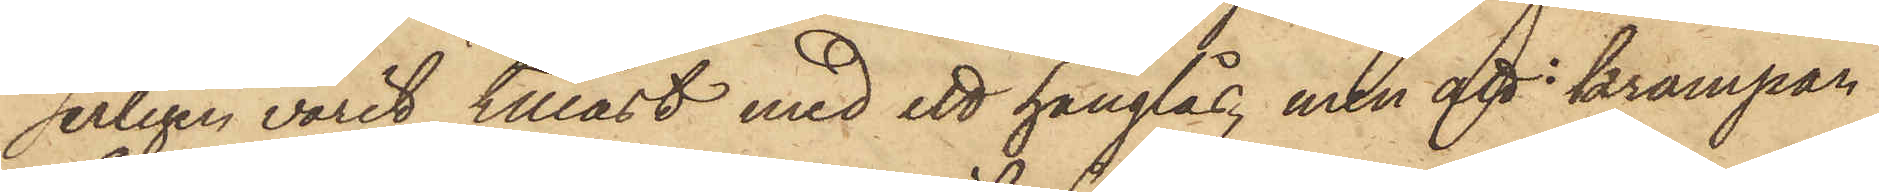serligen varit tillåst med ett hänglås, men att krampan
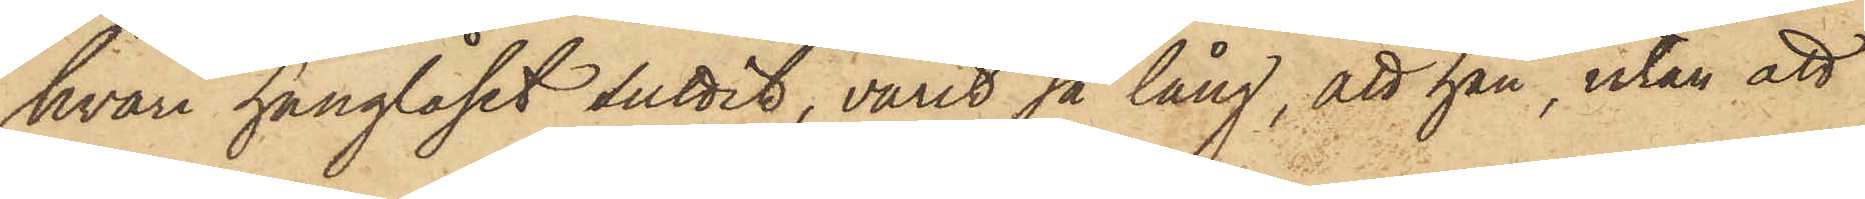hvari hänglåset suttit, varit så lång, att han, utan att
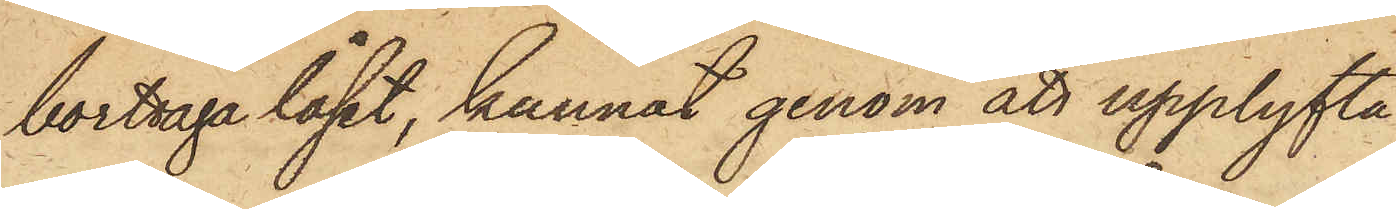borttaga låset, kunnat genom att upplyfta
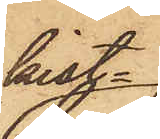kist¬
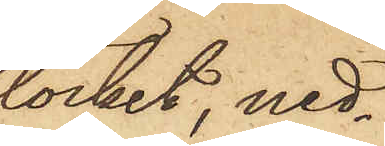locket, ned¬
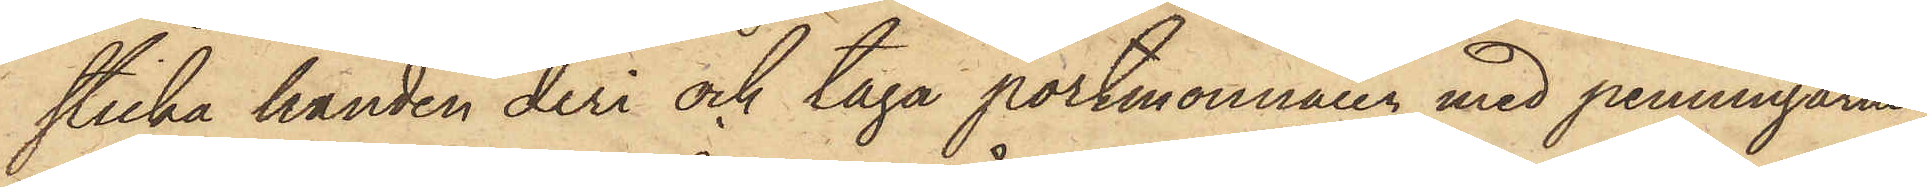sticka handen deri och taga portmonnaien med penningarne,
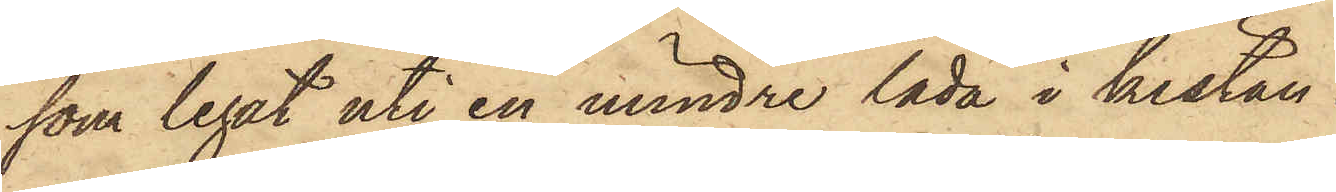som legat uti en mindre låda i kistan.
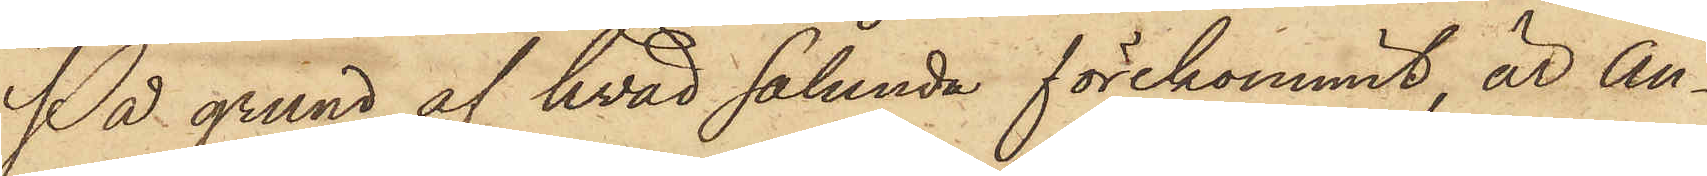På grund af hvad sålunda förekommit, är An¬
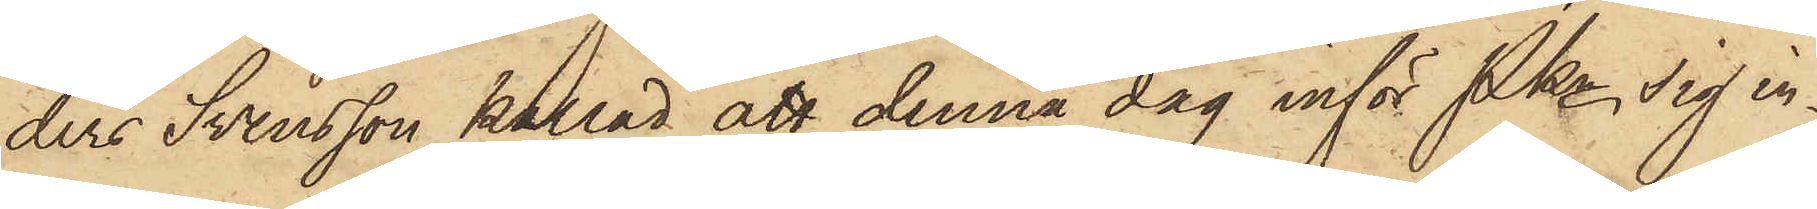ders Svensson kallad att denna dag inför Pkn sig in¬
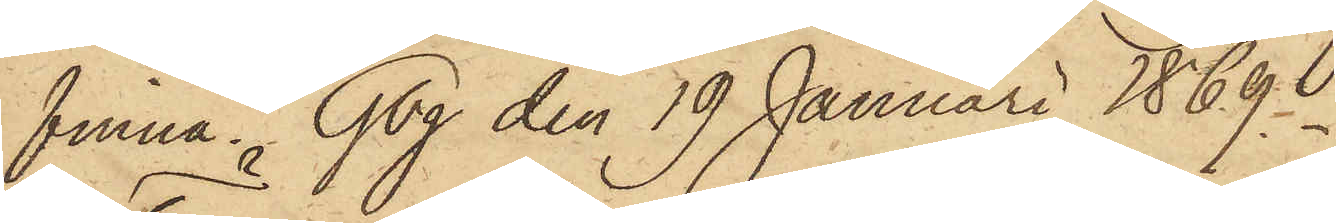finna. Gbg den 19 Januari 1869.
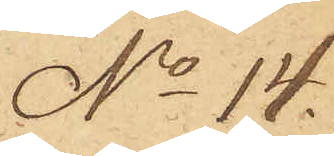No 14.
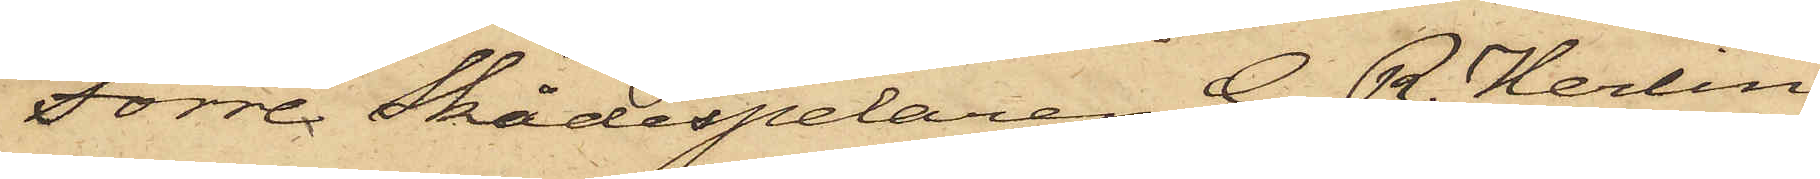Förre Skådespelaren G. R. Herlin,
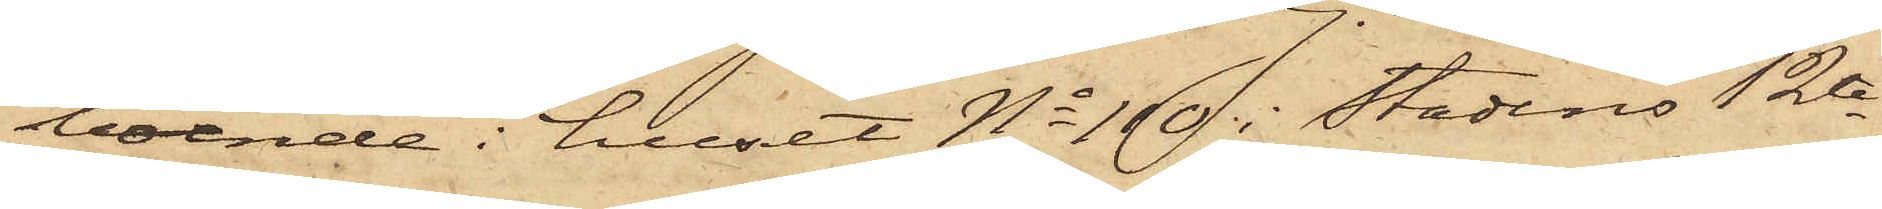boende i huset No 110 i Stadens 12te
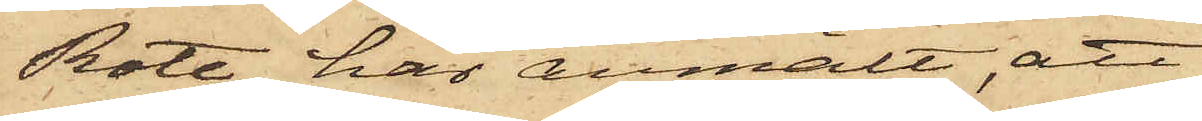Rote, har anmält, att
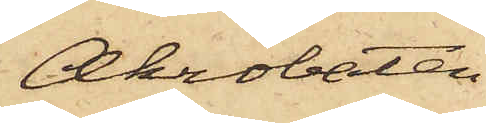Akrobaten
